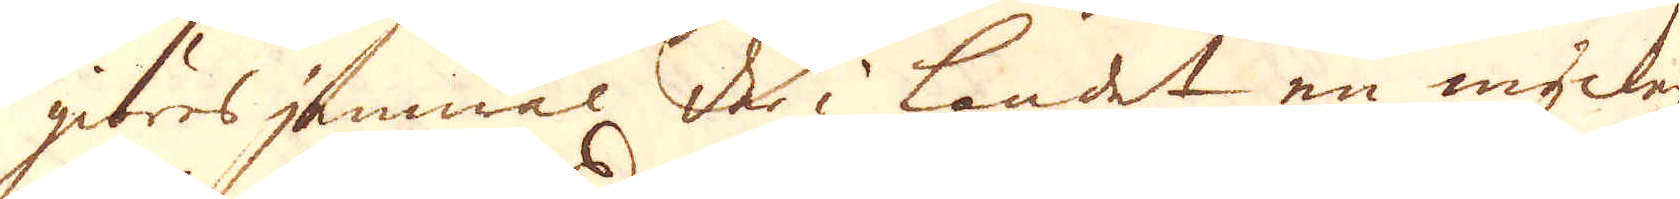giöres jämwäl der i landet en mycken-
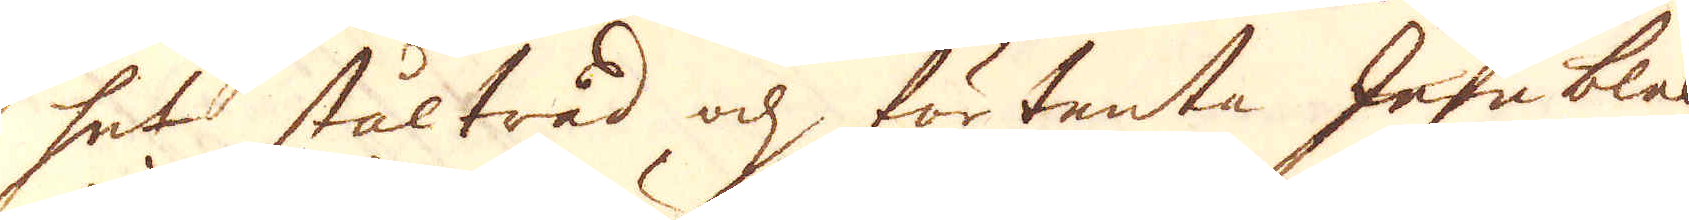het ståltåäd ohk, förtentaJhrtnbla.-
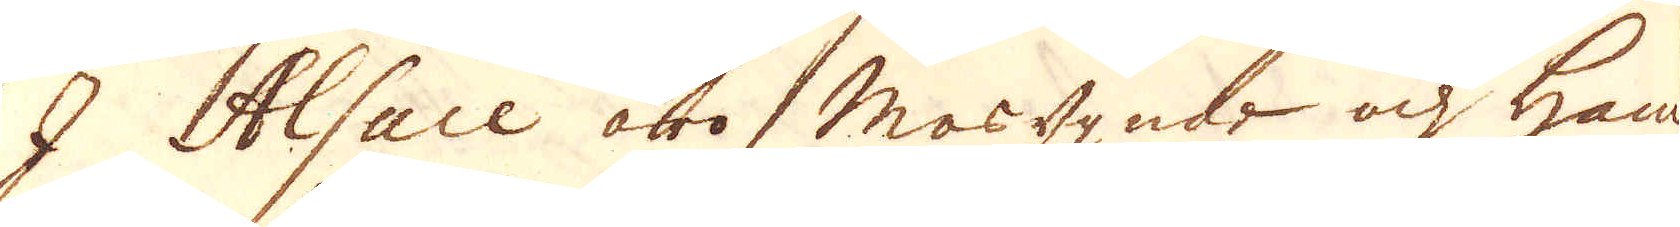I Alsace äro masugnar och ham-
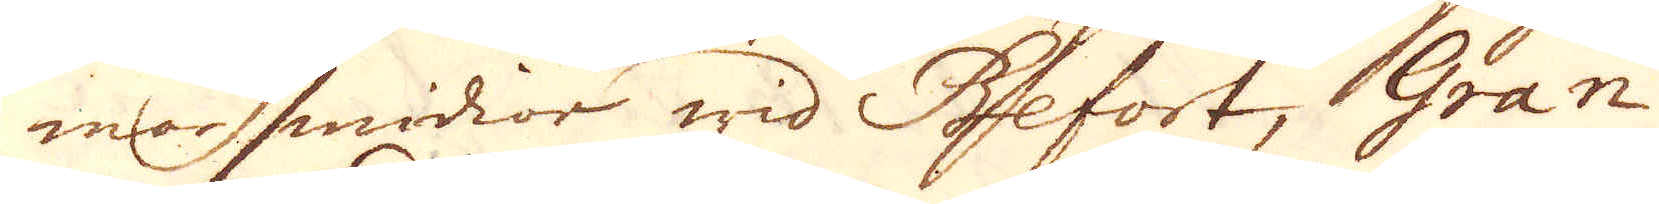marsmidior wid Befort, Gran-
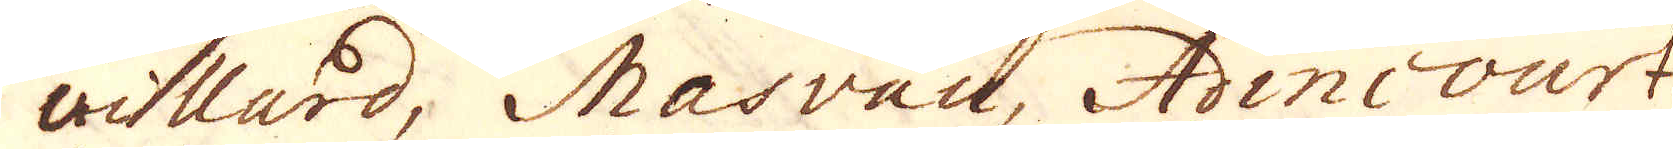aillard, Masvau, Aincourt,
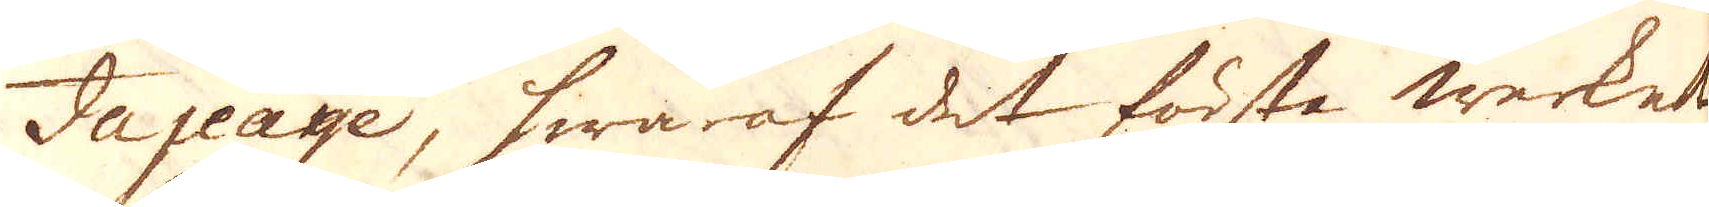Jajeaye, hwaraf det första werket
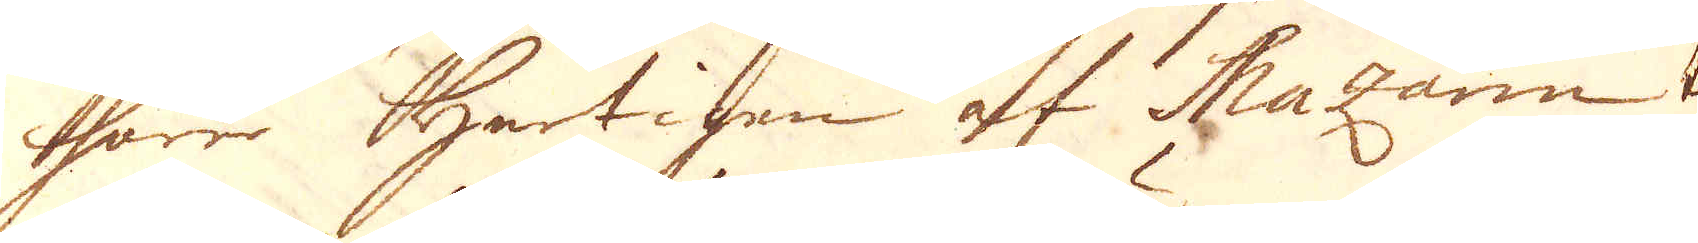hörer hertigen af Mazarin
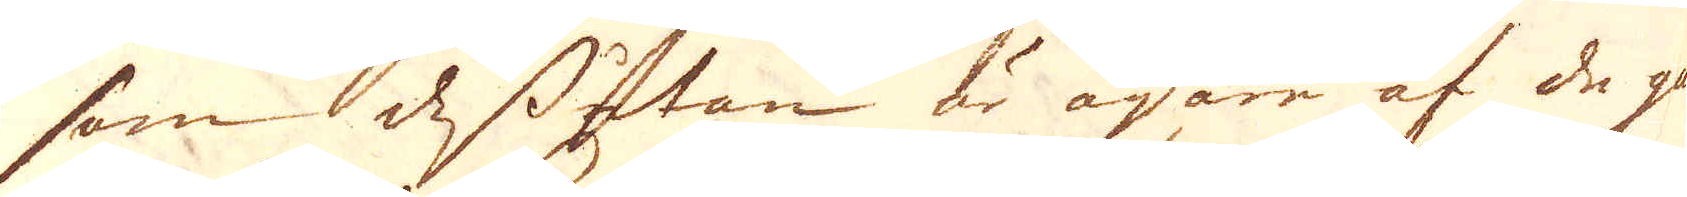som dessutan är ägare af de gam-
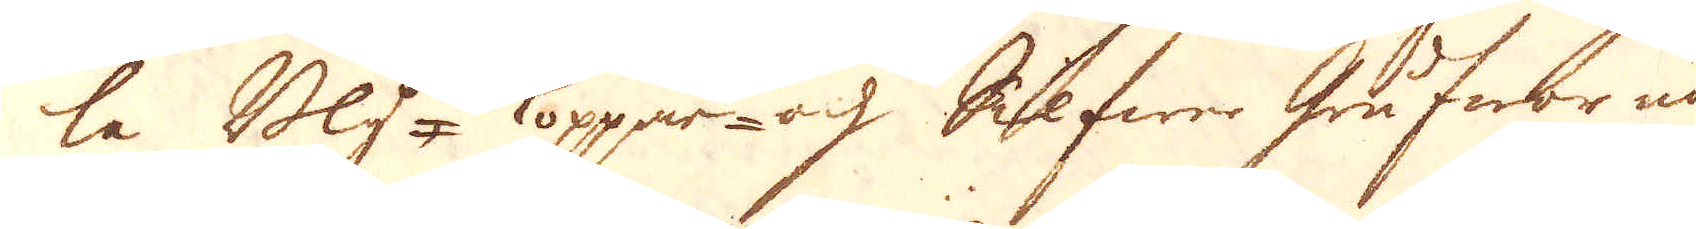la Bly- Koppar- och Silfwer- grufwor nå
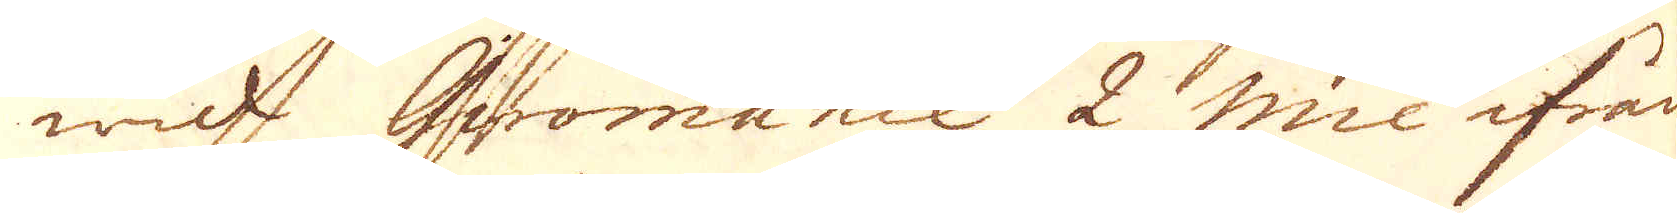wid Gwomanie 2 Mil ifrån
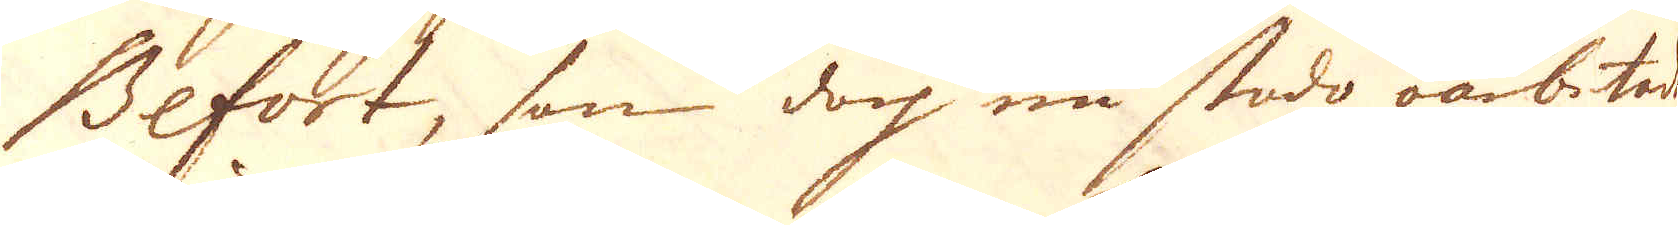Befort, som doch nu stado oarbetade
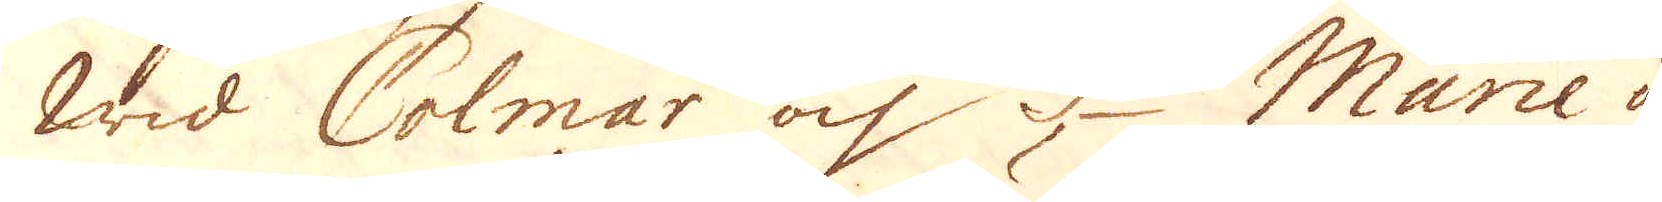Wid Colmar och S:te Marie au
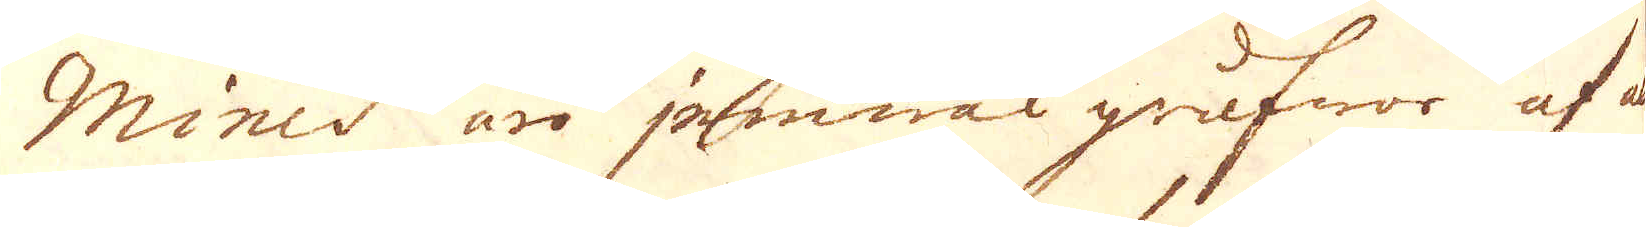Mines äro jemwäl grufwor af a
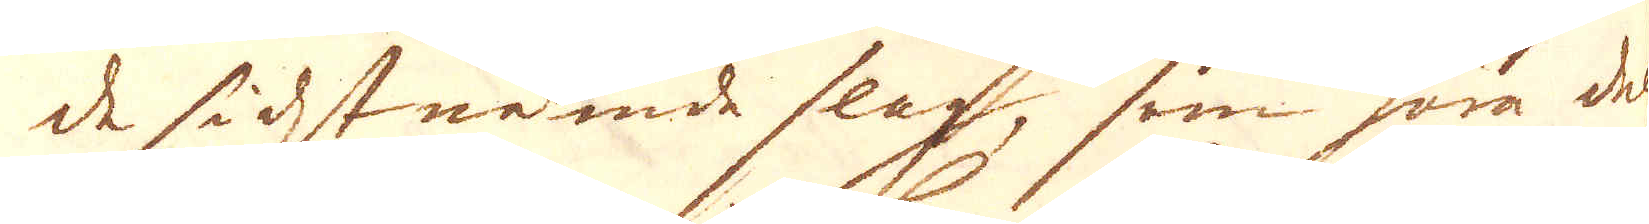de sidstnämde slag, som höra dels
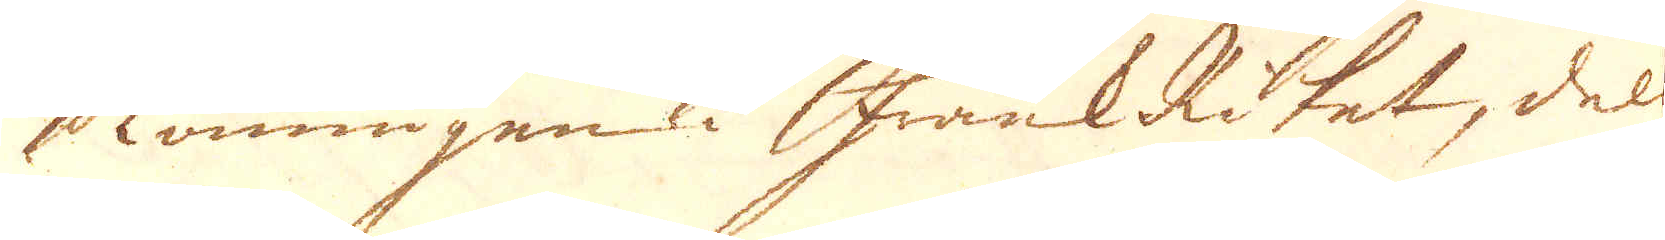Kounungen i FrankRiket, dels
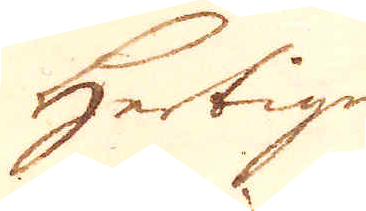Hertigen
